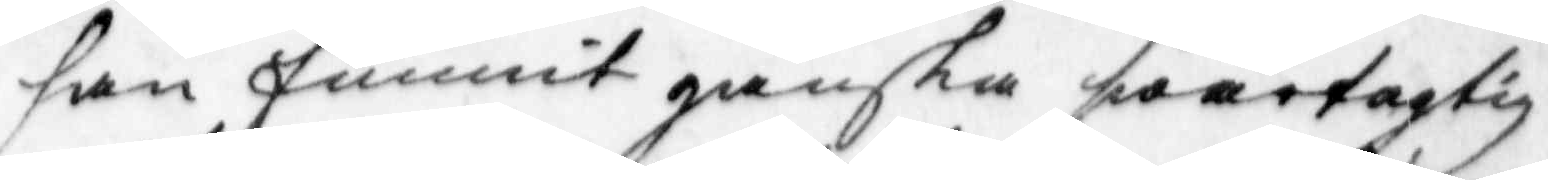han funnit ganska soartagtig
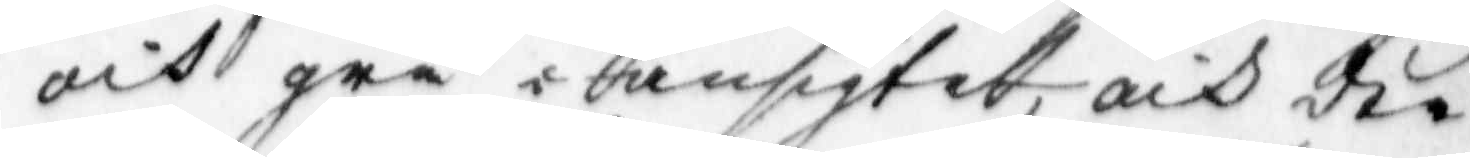och grå i ansigtet och der
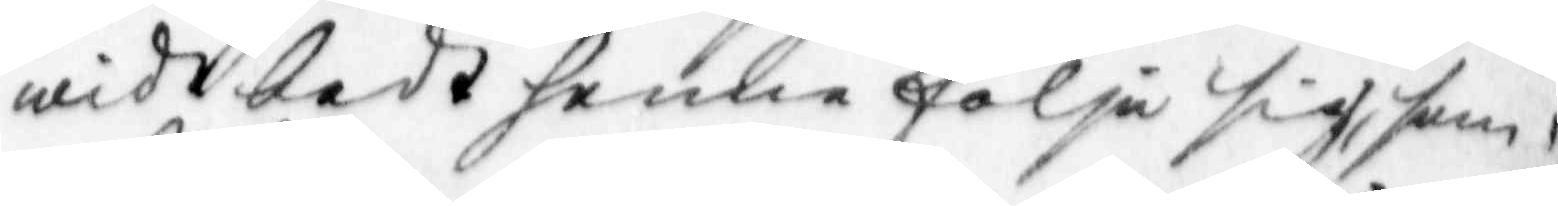widt bedt henne följa sig, som
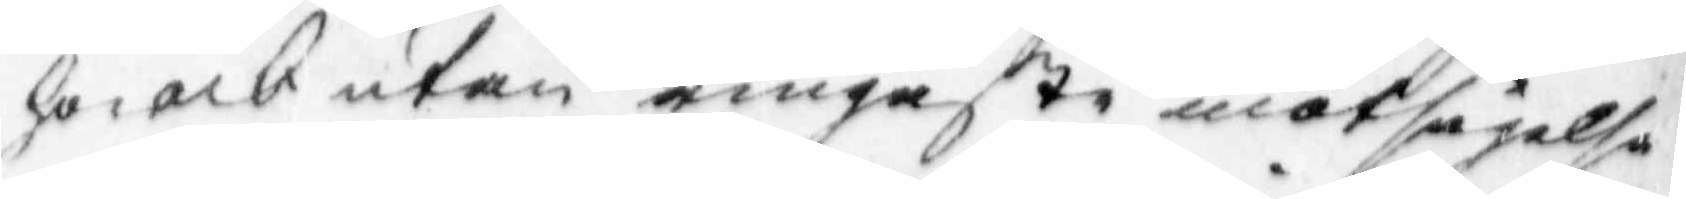hon och utan ringaste emotsägelse
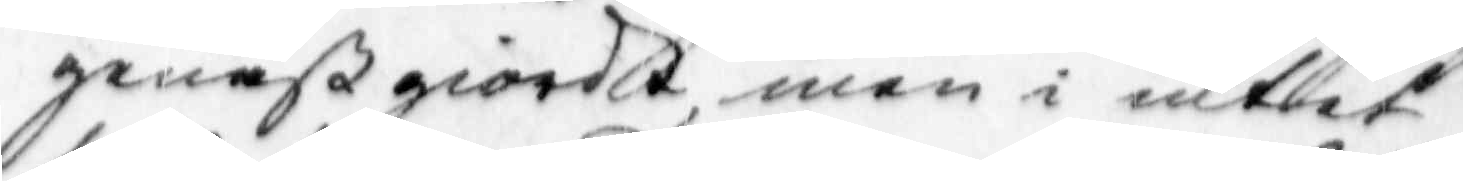genast giordt, men i intet
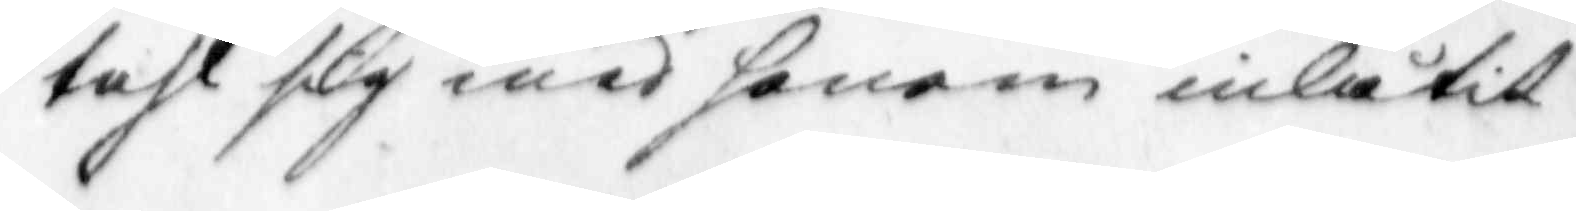tahl sig med honom inlåtit
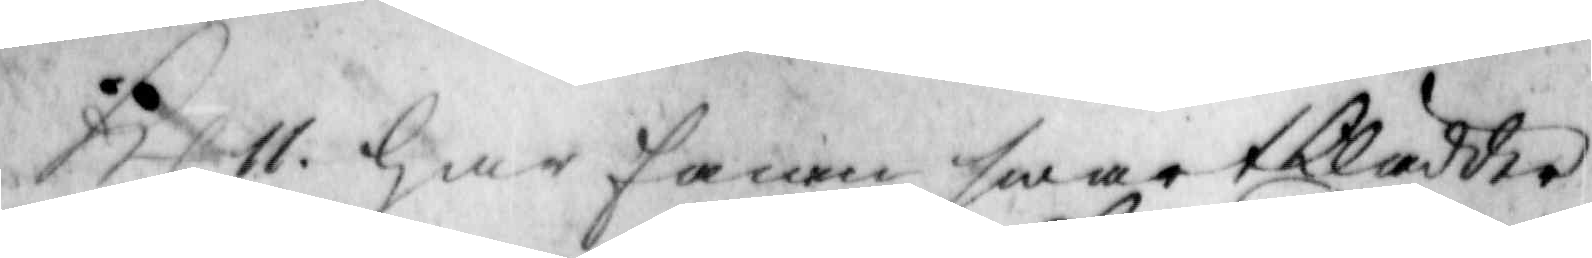Kl 11. har fanen swartklädder
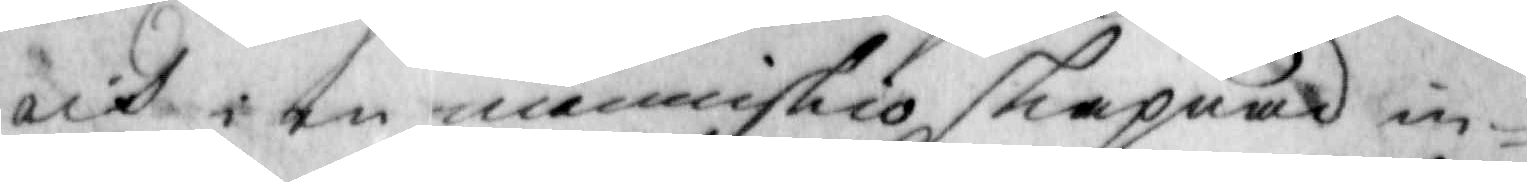och i en menniskio skepnad in¬
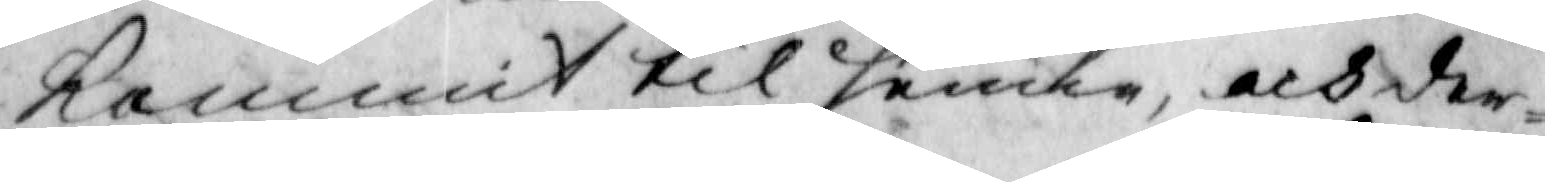kommit til henne, och der¬
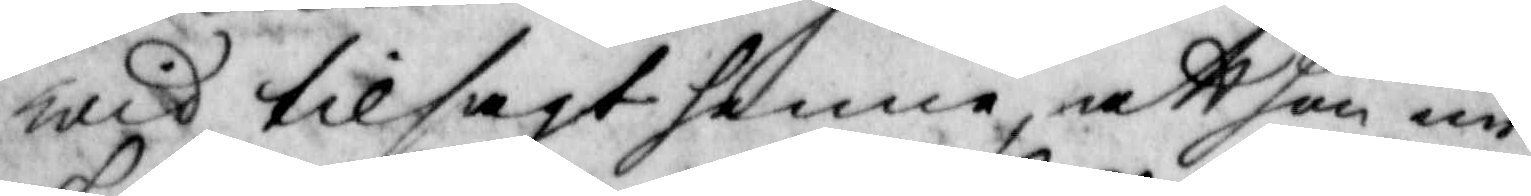wid tilsagt henne, att hon än
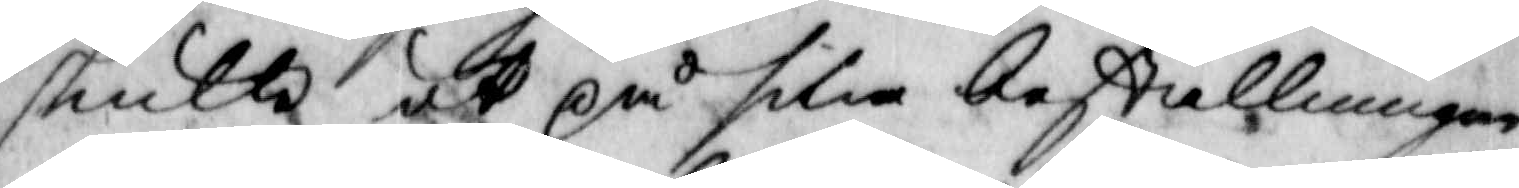skulle ut på silia bestllningar,
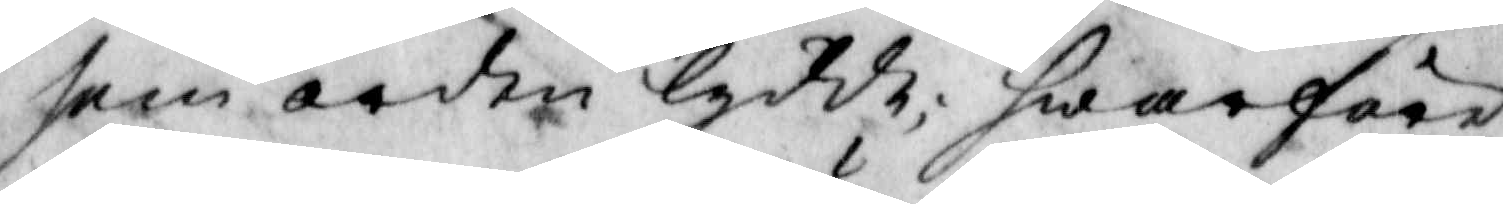som orden lydde; hwarföre
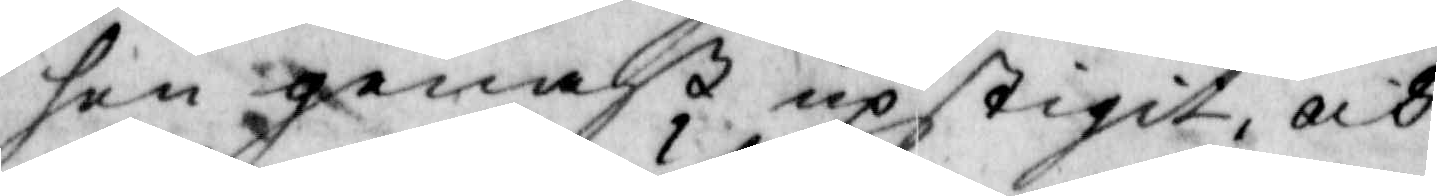hon genast upstigit och
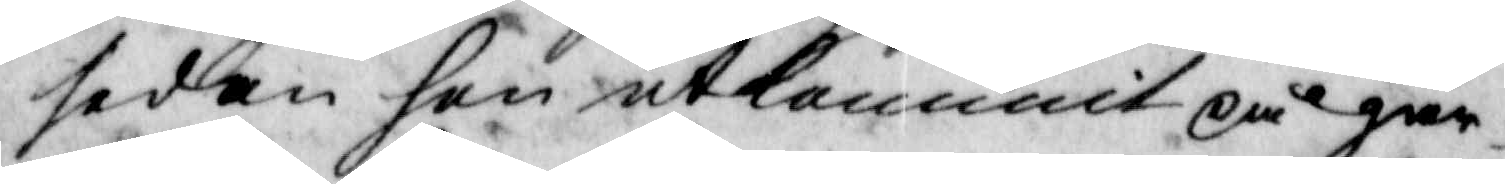sedan hon utkommit på går¬
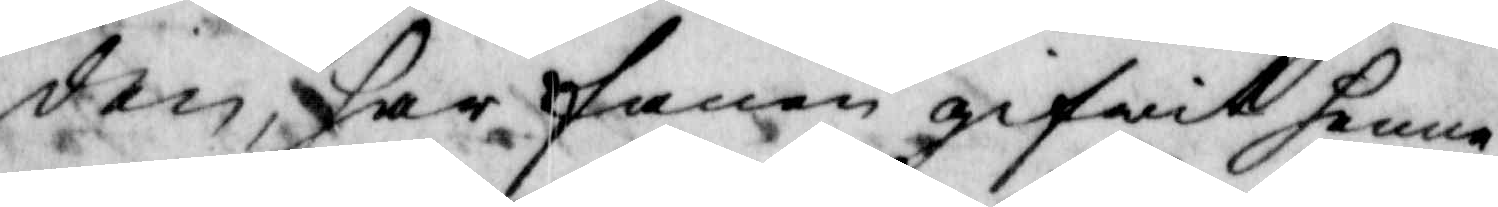den, har fanen gifwit henne
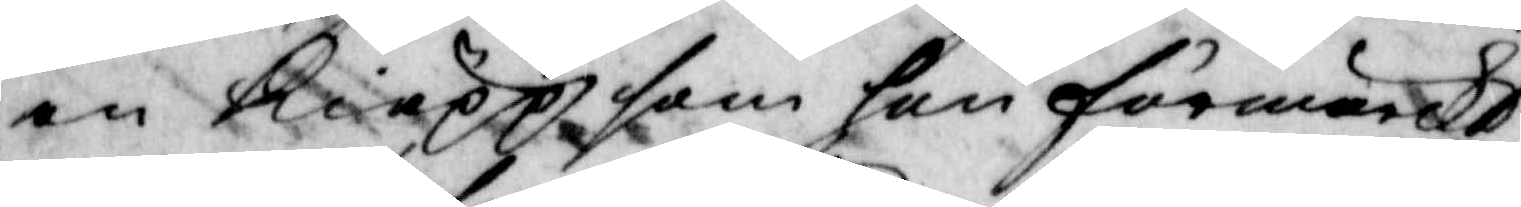en kiäpp som hon förmärckt
